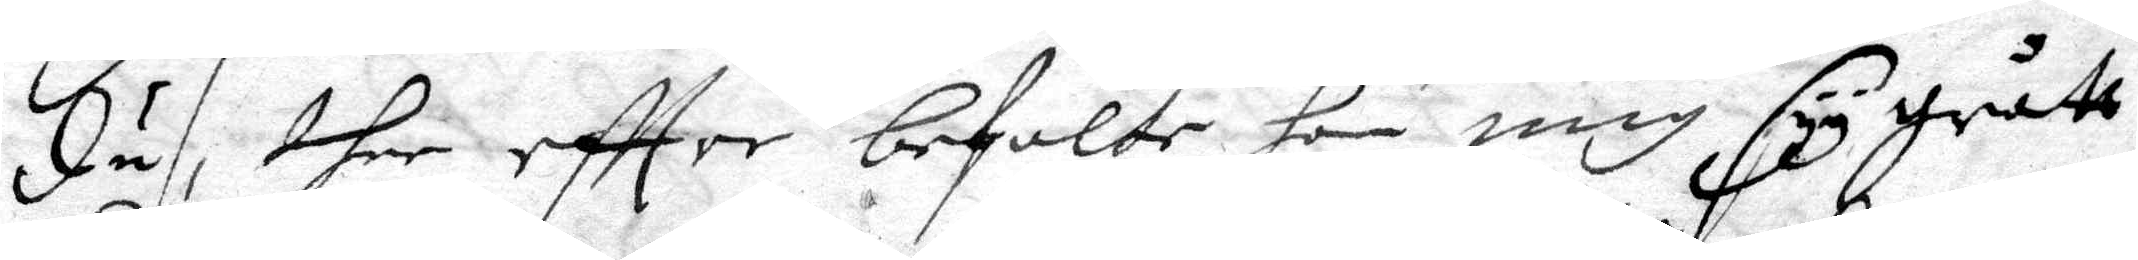du, ther eftter befalte hon mig syy grått
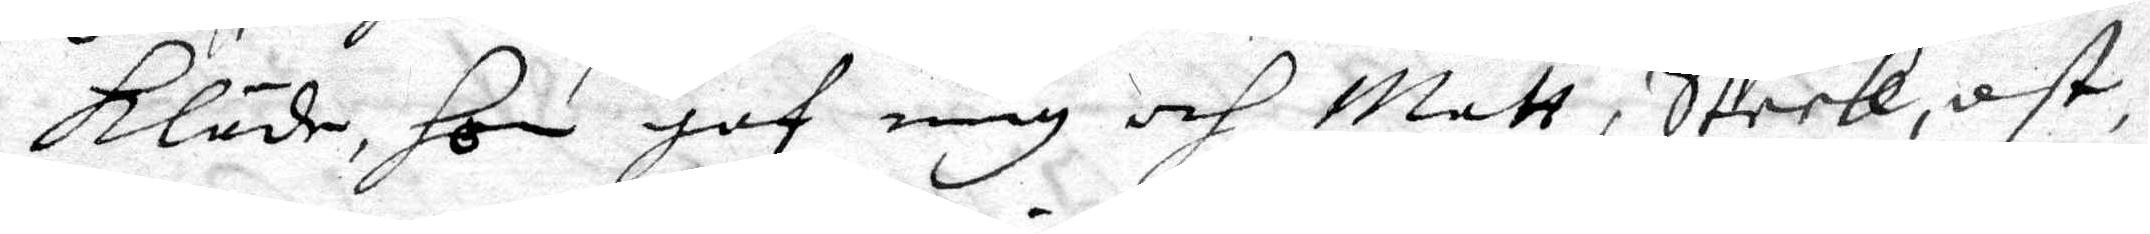kläde, hon gaf mig och Matt, Steek, ost,
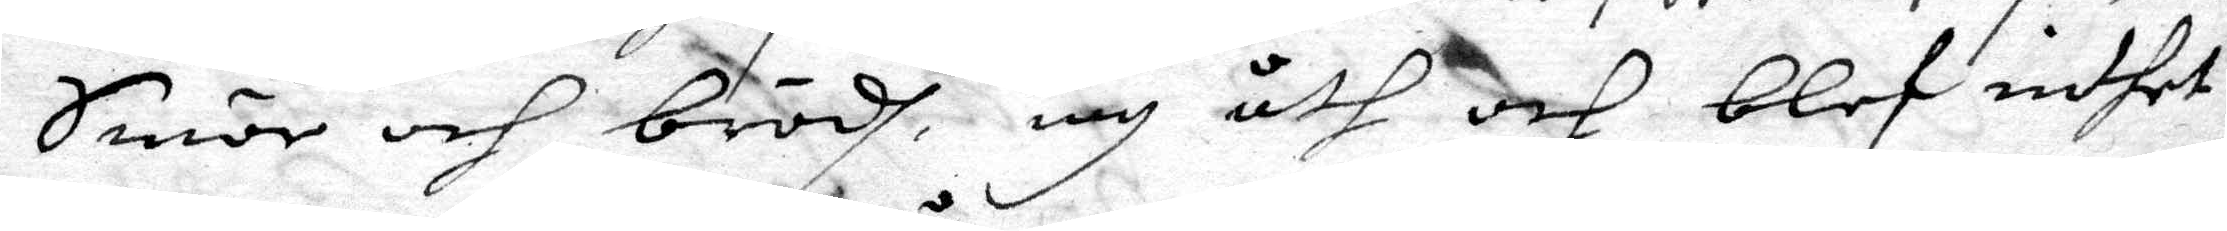Smör och brödh, iag åth och blef inthet
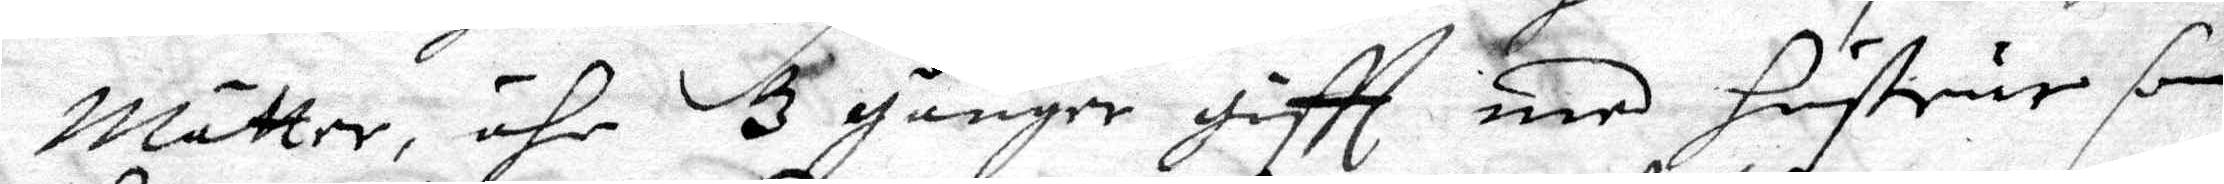Mätter, ähr 3 gånger giftt med hustrur som
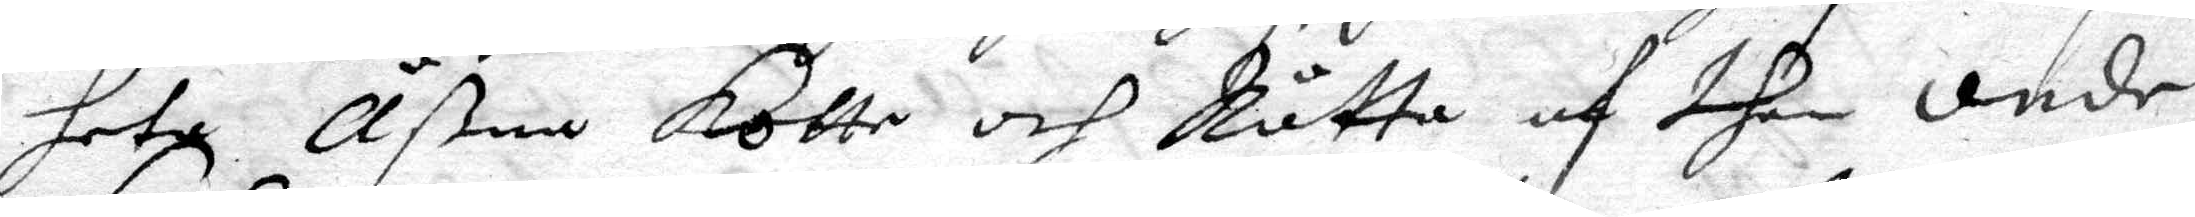heta Åßna Kotte och Råtta af then onde
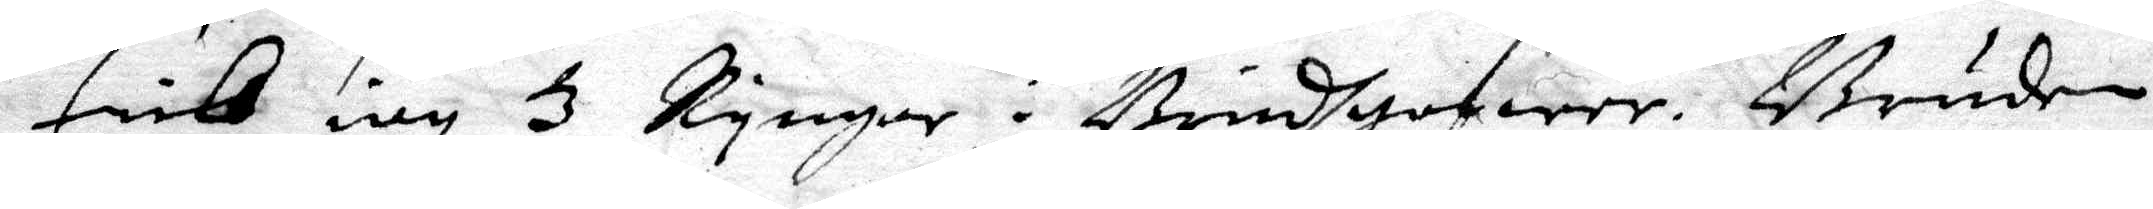fick iag 3 Ringar i Brudgofwer. Bruden
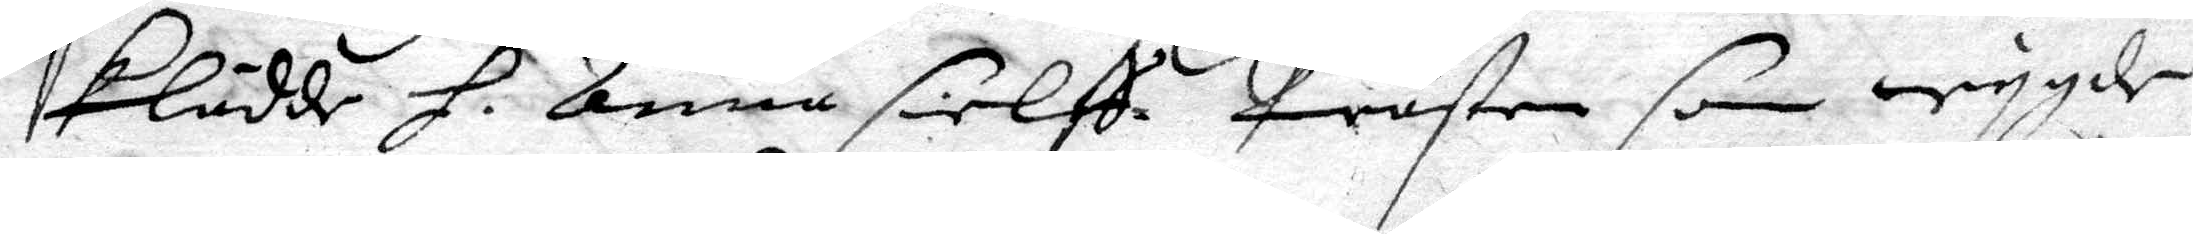klädde H. Anna sielff Prästen som wygde 
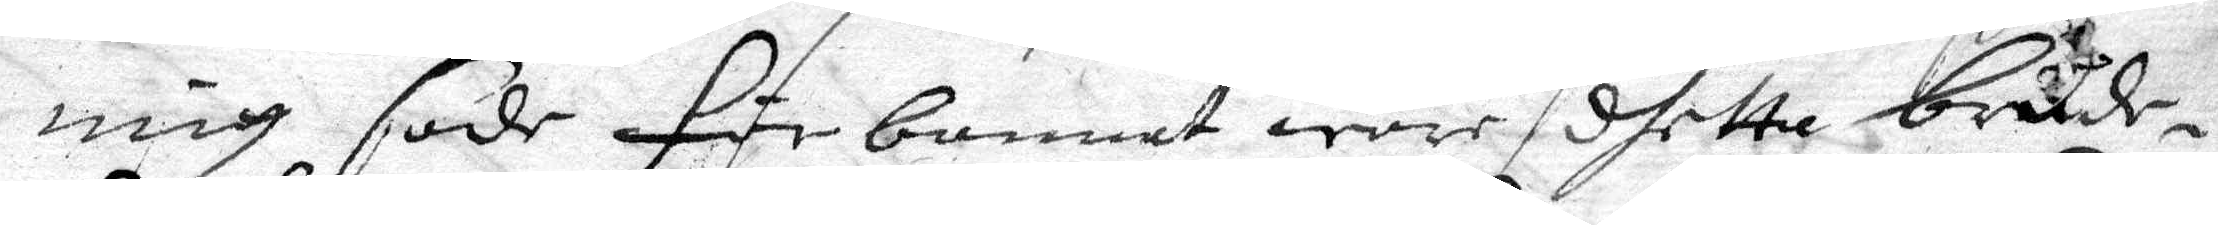mig sade förbannat ware dhetta brude¬
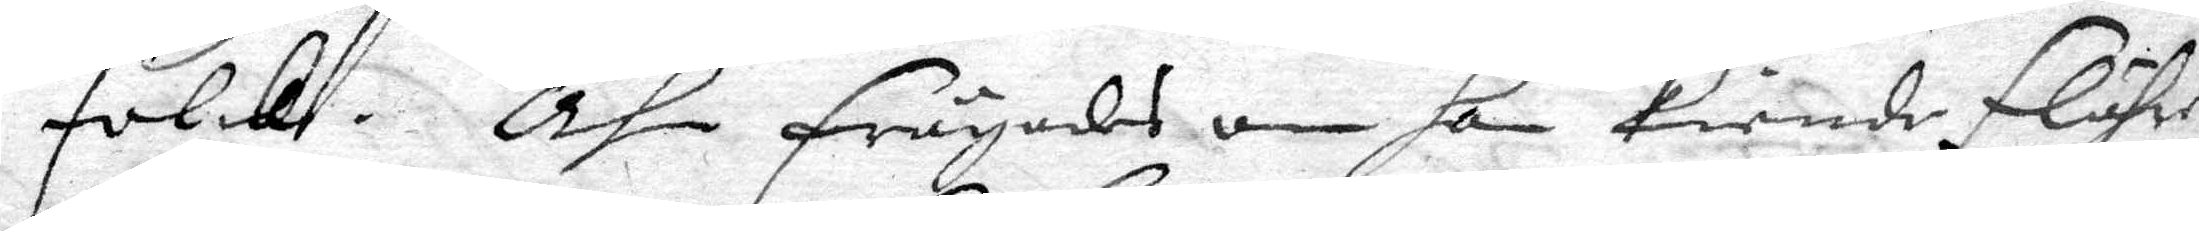folck. Ähn frågades om han kiende flähre
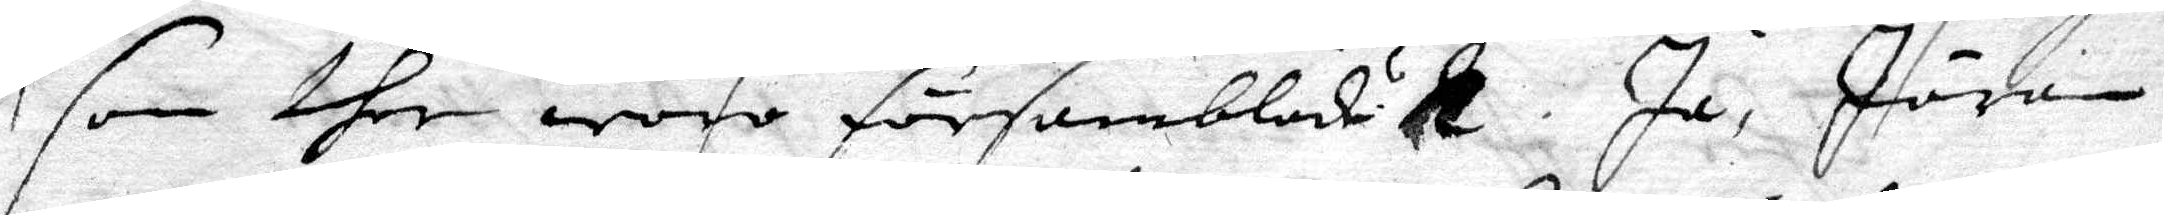som ther woro församblad.t. Ja, Jöran
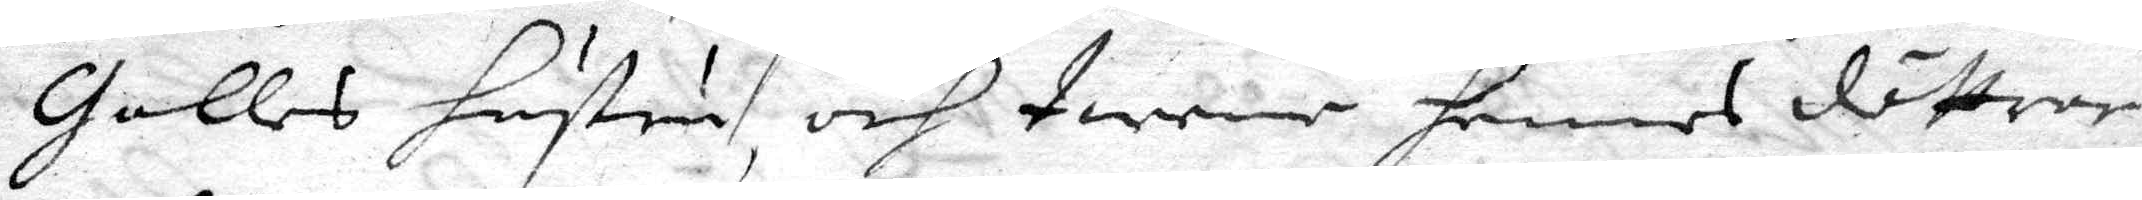Galles hustru, och twene hennes döttrar
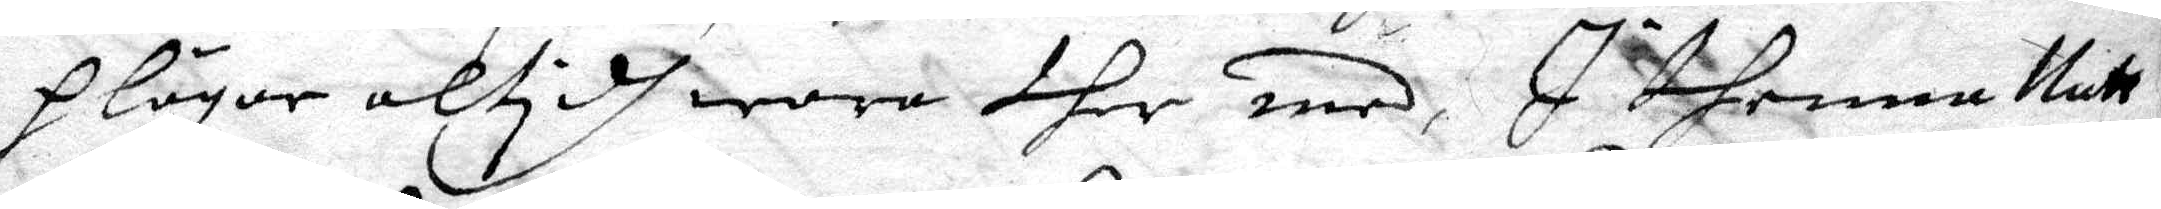plägar altidh wara ther med, I thenna Natt
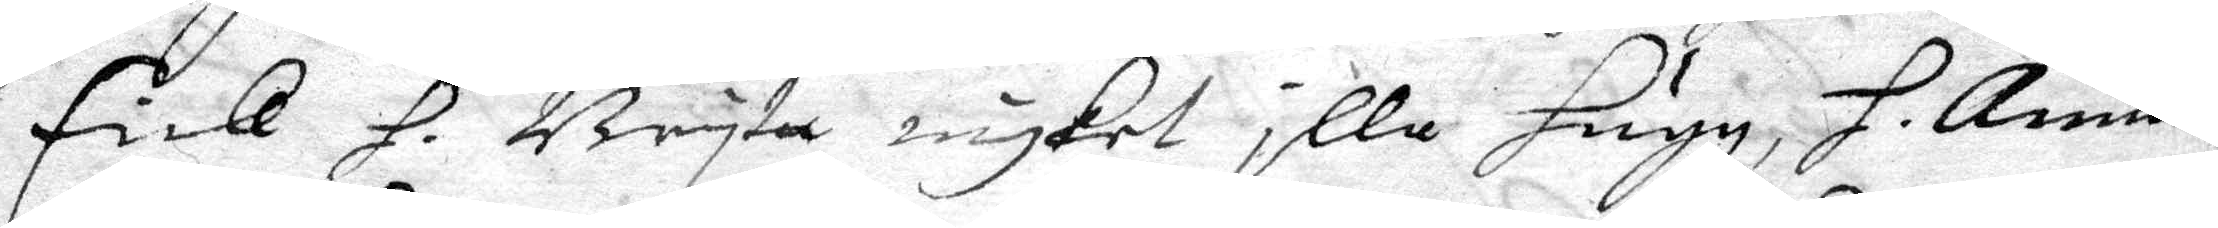fick H. Brita mygket illa hugg, H. Anna 
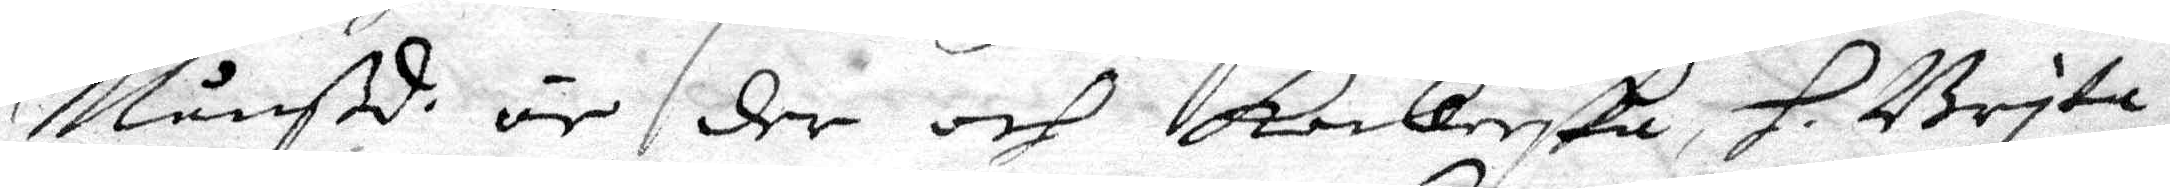Månßd. är der och kockerska H. Brita 
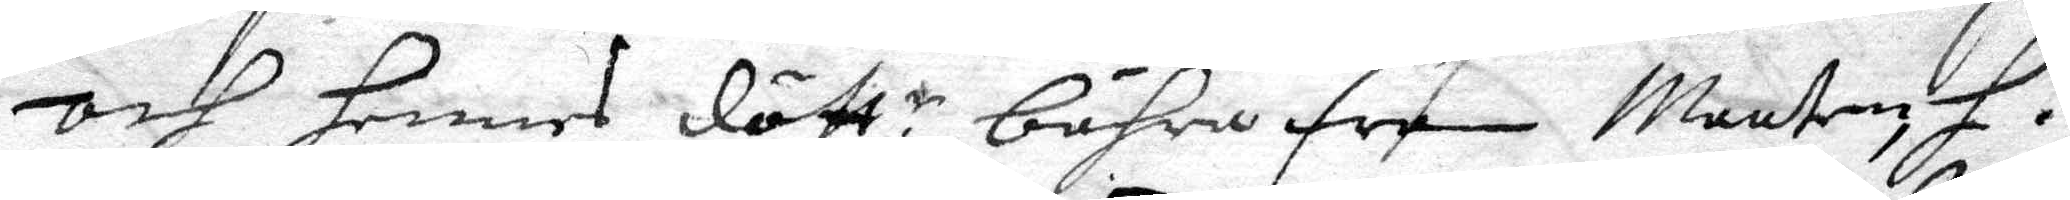och hennes dött.r bähra fram Maaten, H. 
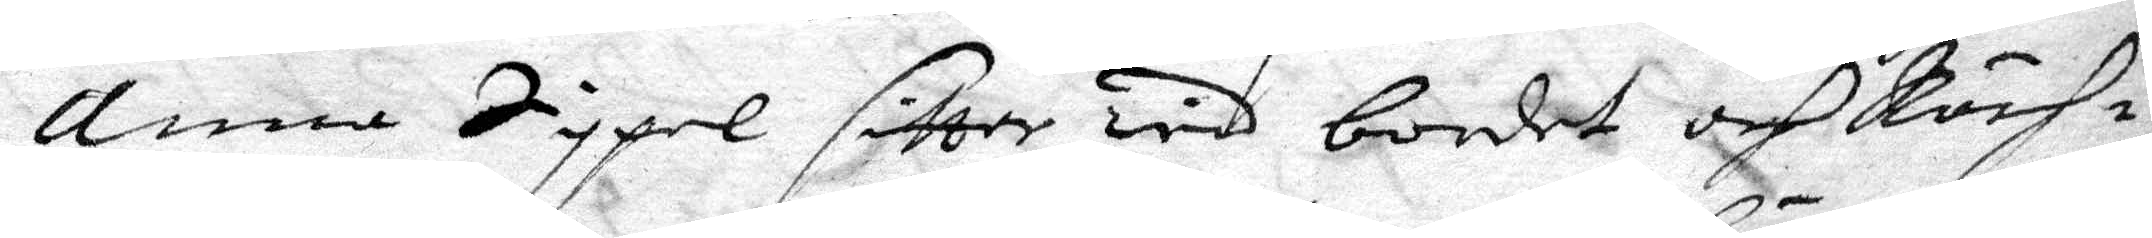Anna Sippel sitter wid bordet och Räch¬
